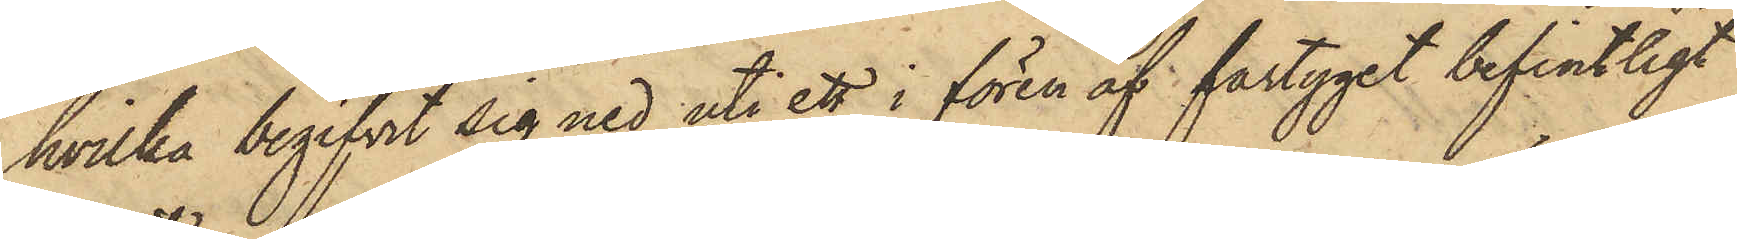hvilka begifvit sig ned uti ett i fören af fartyget befintligt
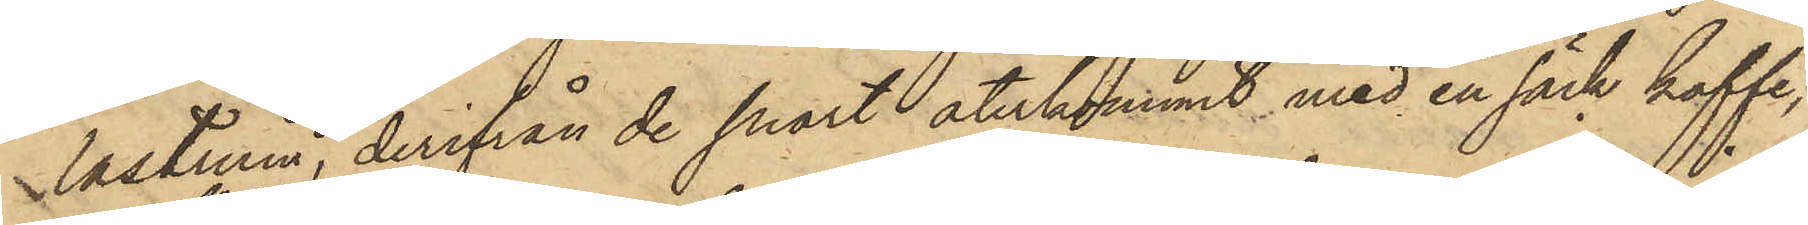lastrum, derifrån de snart återkommit med en säck kaffe,
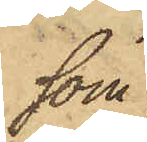som
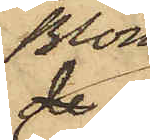Blom
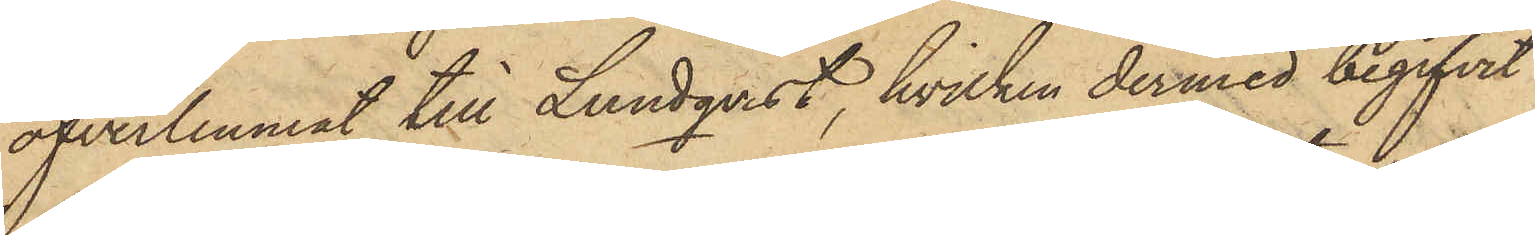öfverlemnat till Lundqvist, hvilken dermed begifvit
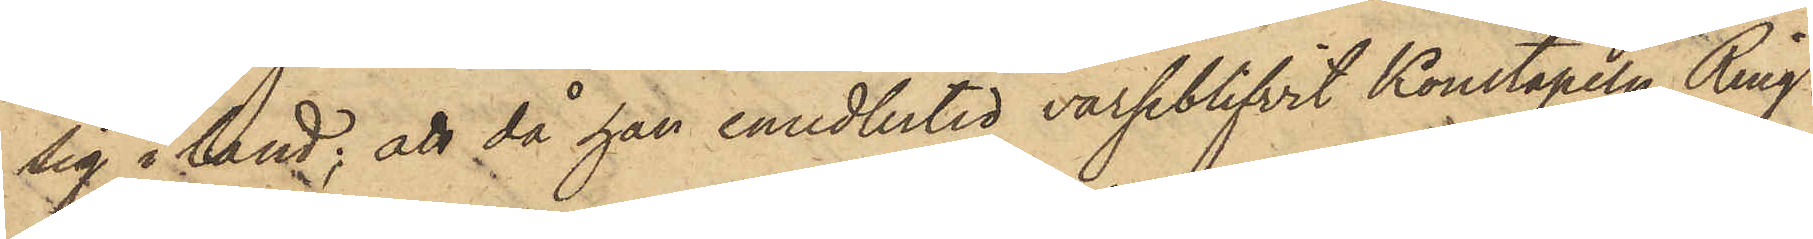sig i land; att då han emedlertid varseblifvit Konstapeln Ring¬
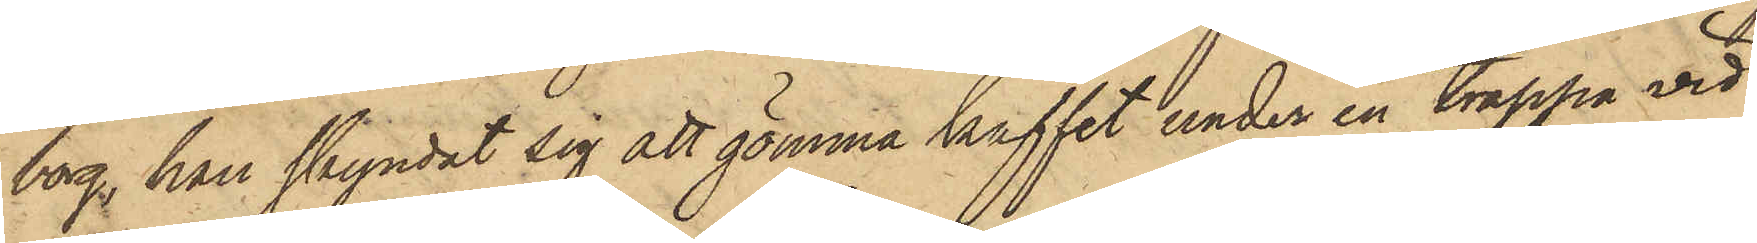borg, han skyndat sig att gömma kaffet under en trappa vid
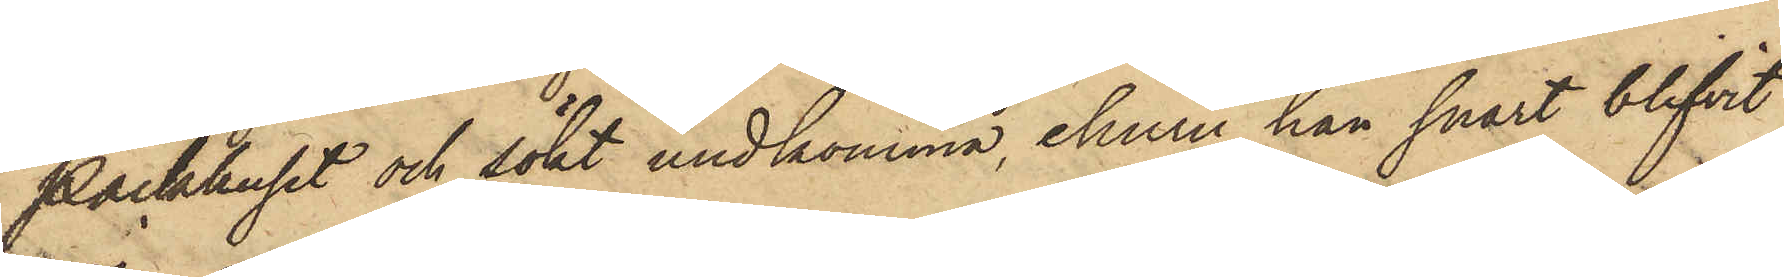Packhuset och sökt undkomma, ehuru han snart blifvit
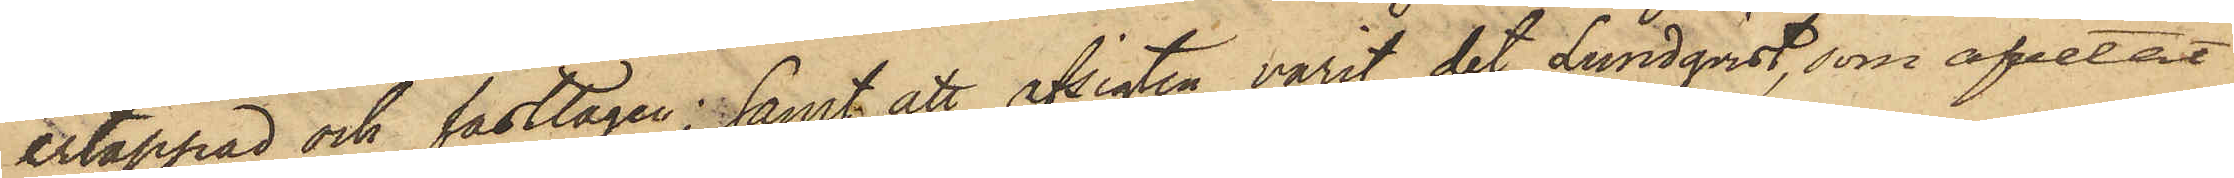ertappad och fasttagen; samt att afsigten varit det Lundqvist, som afvetat
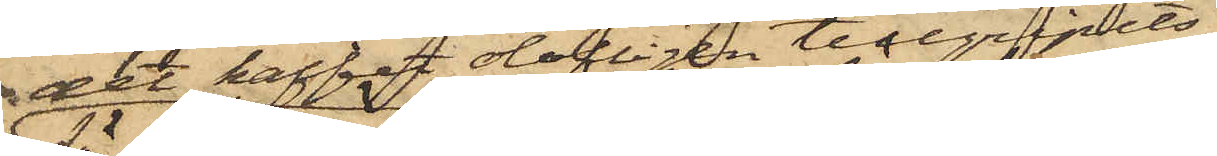det kaffet olofligen tillgripits
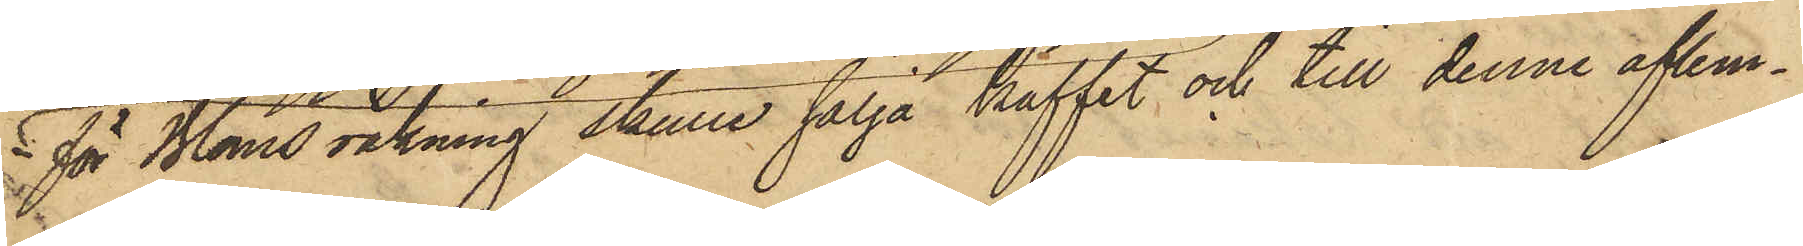för Bloms räkning skulle sälja kaffet och till denne aflem¬
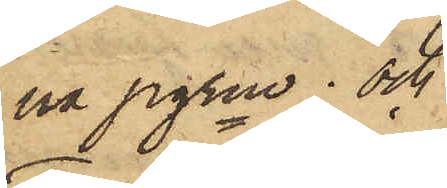na pgrne; och
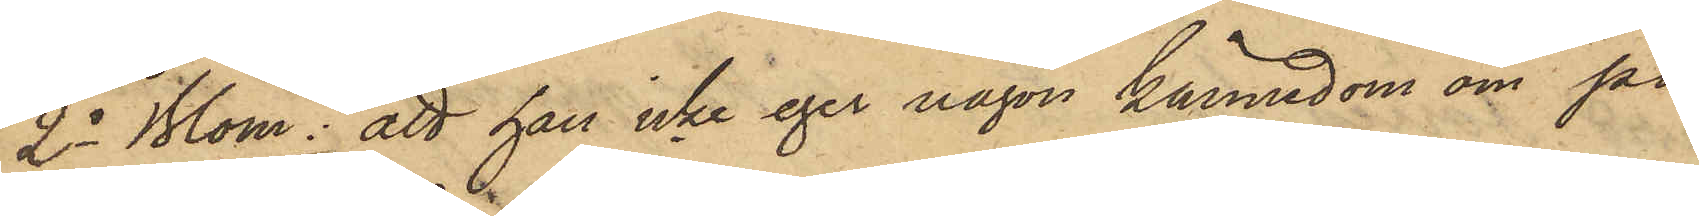2o Blom: att han icke eger någon kännedom om på
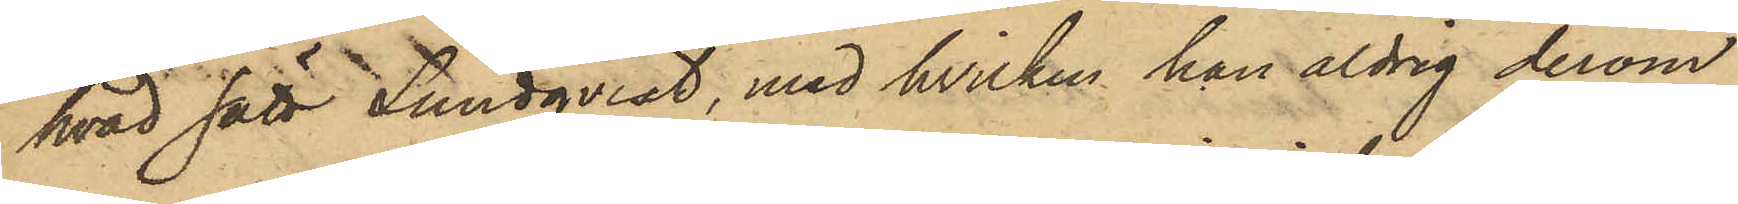hvad sätt Lundqvist, med hvilken han aldrig derom
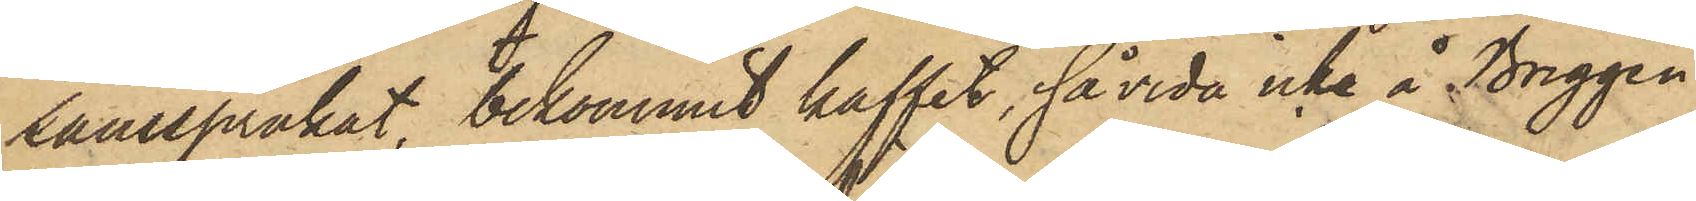samspråkat, bekommit kaffet, såvida icke å Briggen
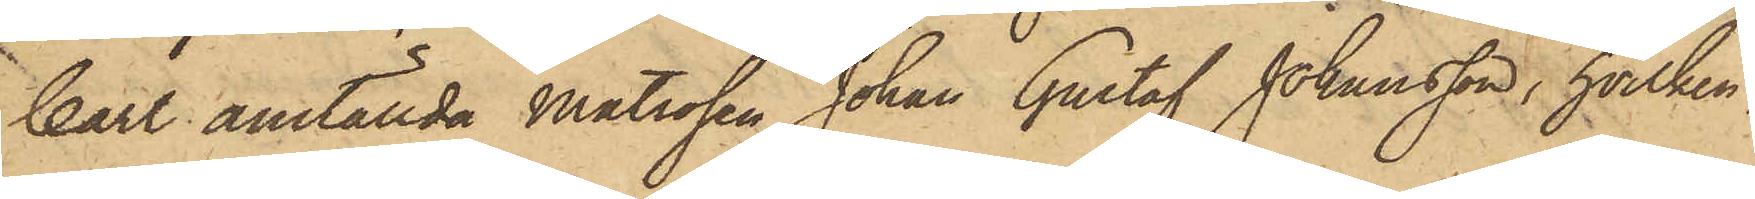Carl anställda Matrosen Johan Gustaf Johansson, hvilken,
